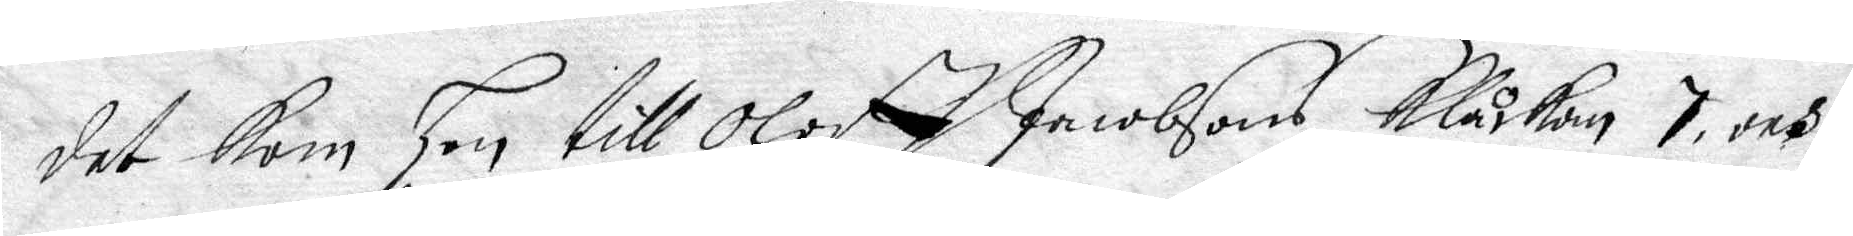det kom Hon till Oloff Jacobsons Klåckan 7 och
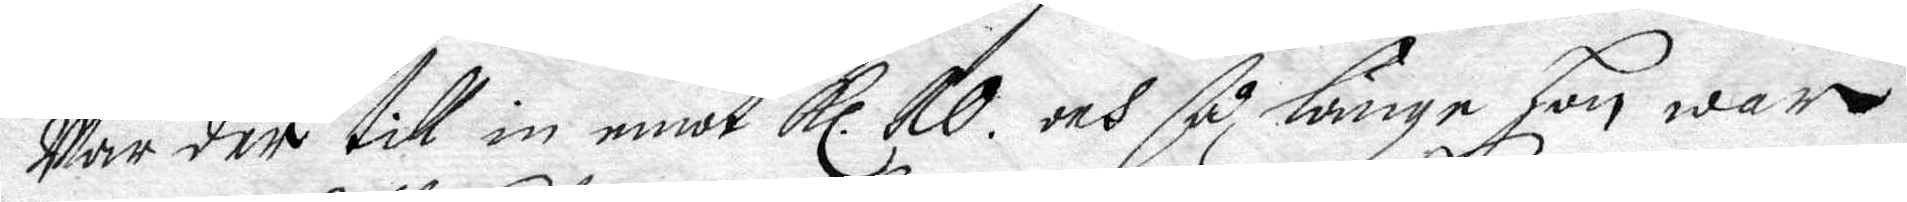war der till in emot Kl. 20. och så länge hon war
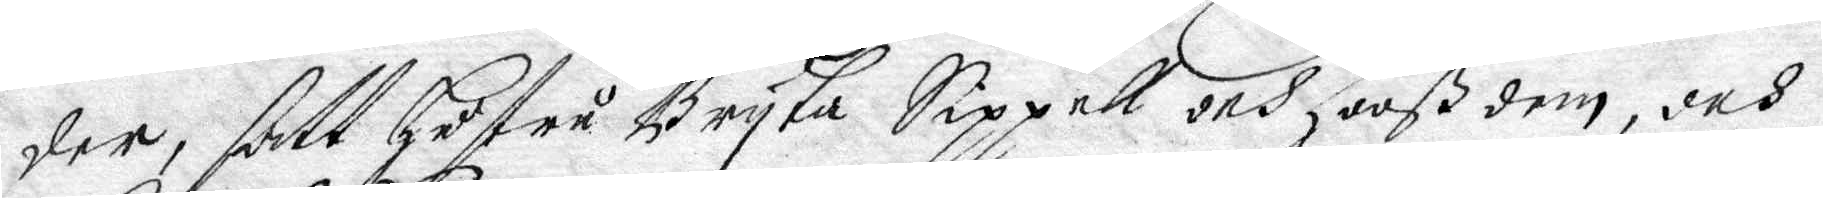der, satt hustru Bryta Sippell och Hooß dem, och
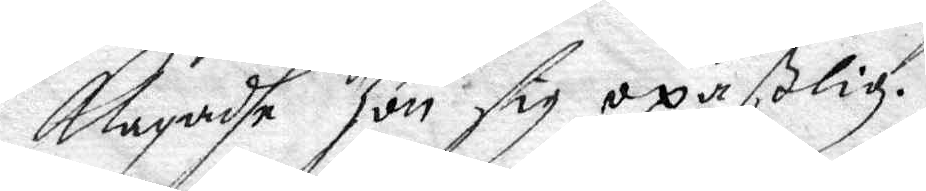klagadhe hon sig opaßlig.
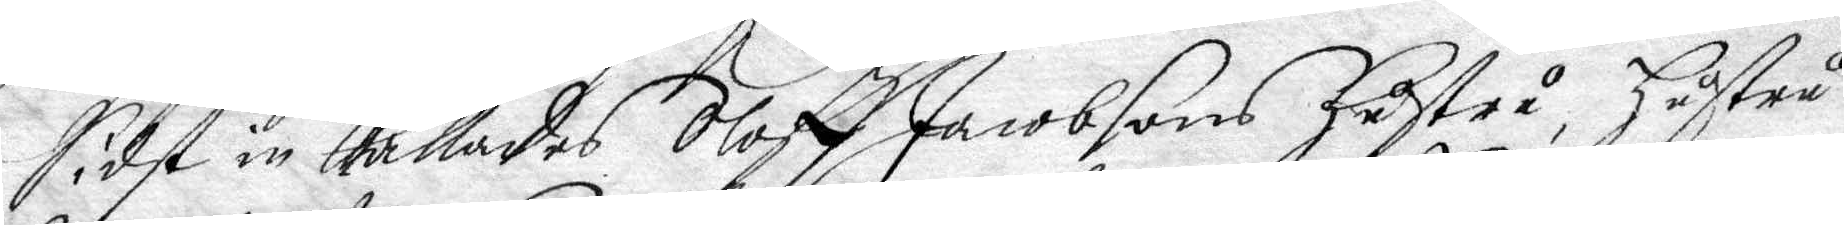Sidst in kallades Oloff Jacobsons Hustru, Hustru
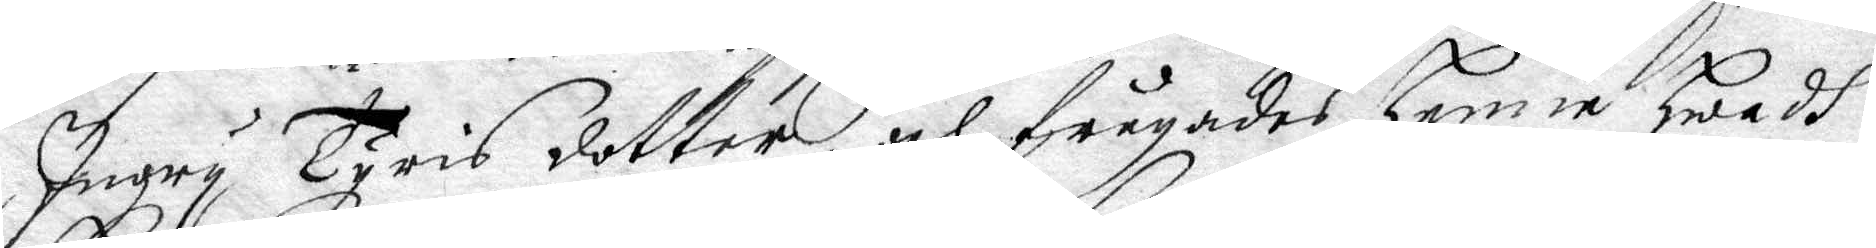Ingry Tyris dotter, och frågades henne hwadh
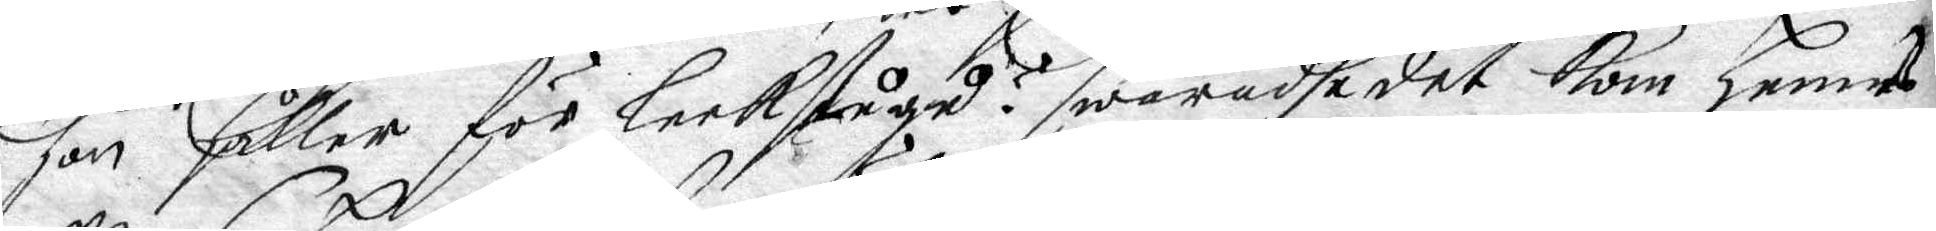Hon Håller för leekstågu?  swaradhe det kom hennes
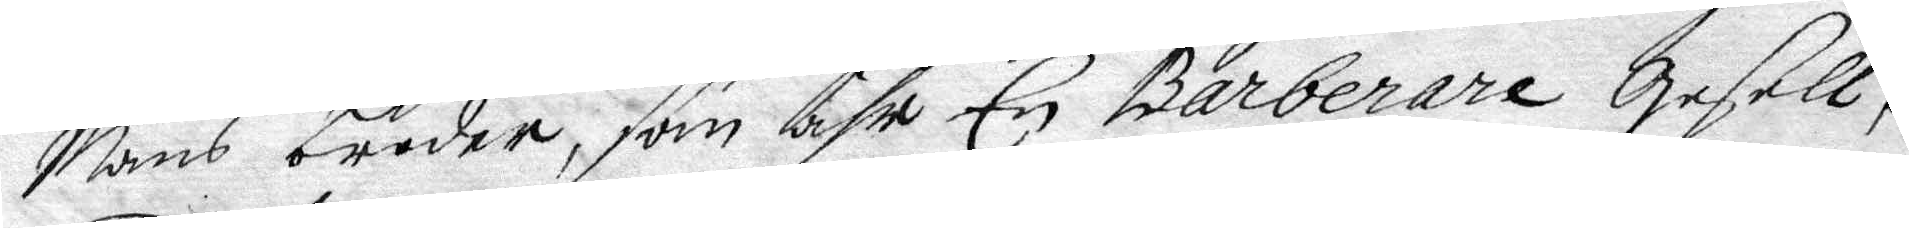Mans broder, som ähr En Barberare Gesell,
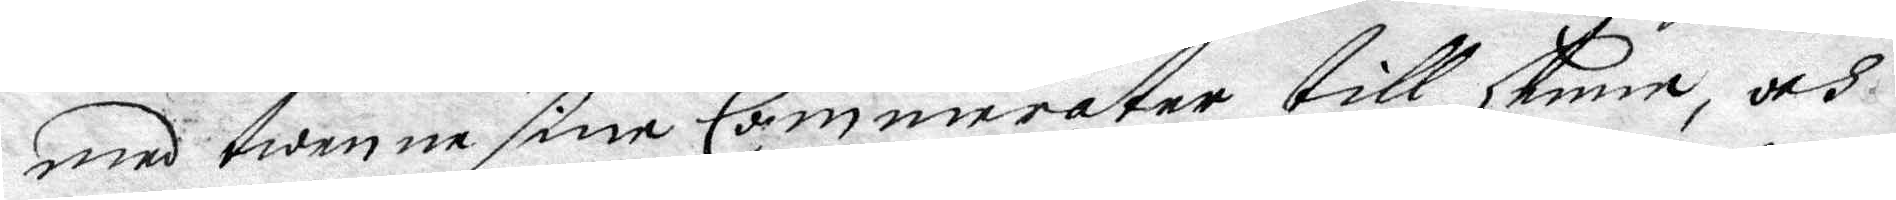med twenne sine Cammerater till henne, och
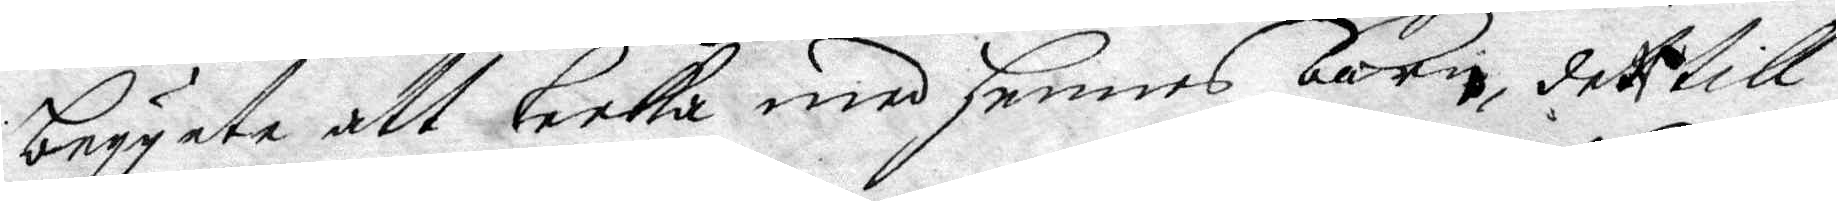begynte att leeka med hennes barn, det till
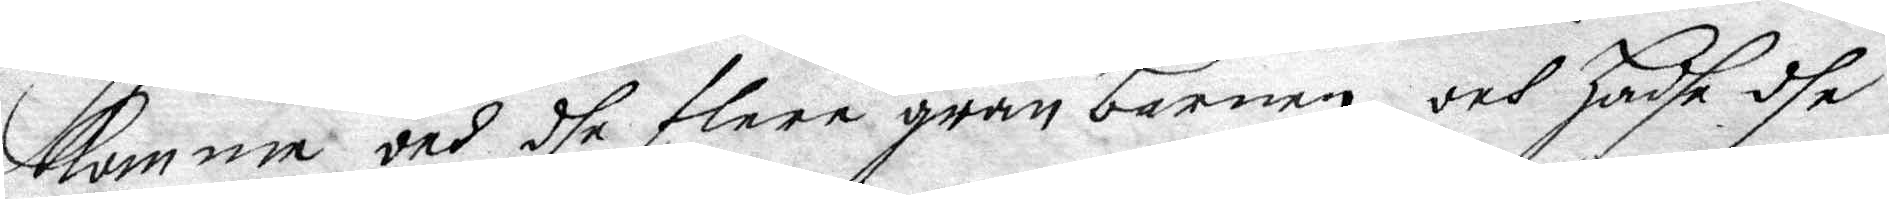komma och dhe flere granbarnen, och hadhe dhe
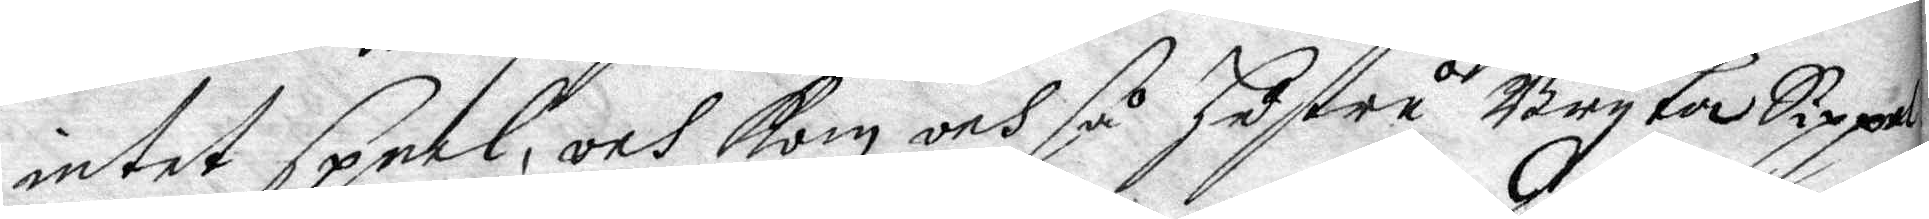intet speel, och kom och så hustru Bryta Sippel
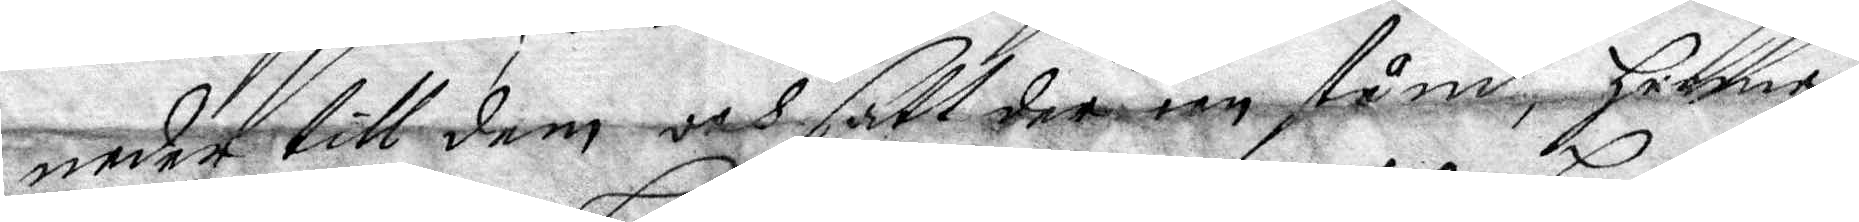neder till dem och satt der en stånd, henne
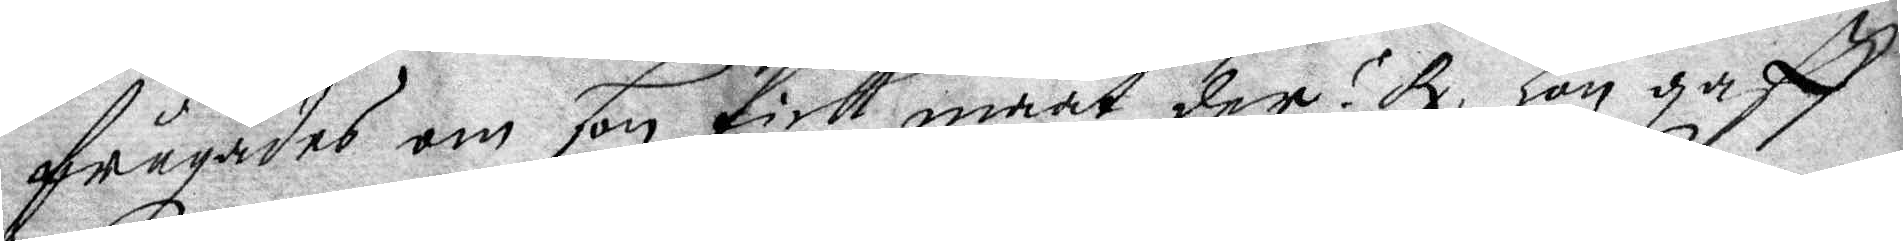frågades om hon fick maat der? Rx Hon gaff
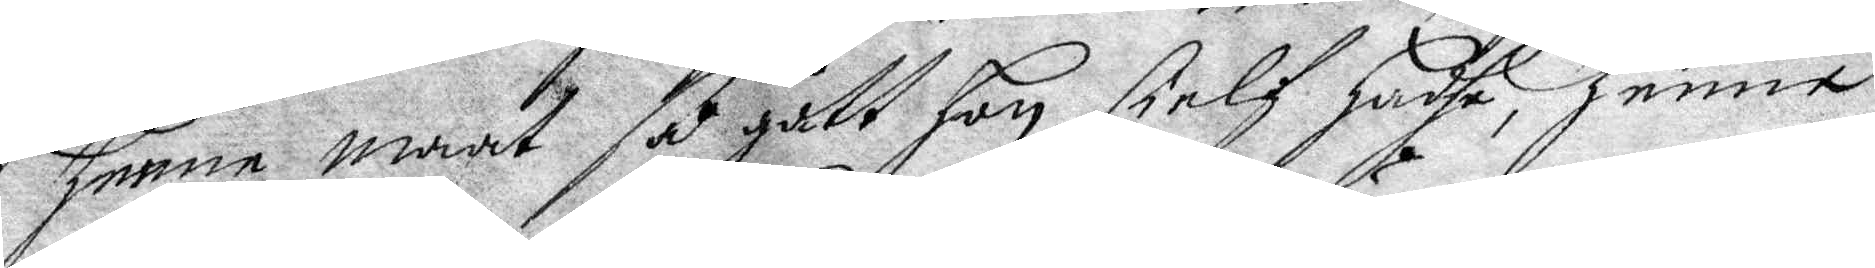henne maat så gått hon sielf hadhe, henne
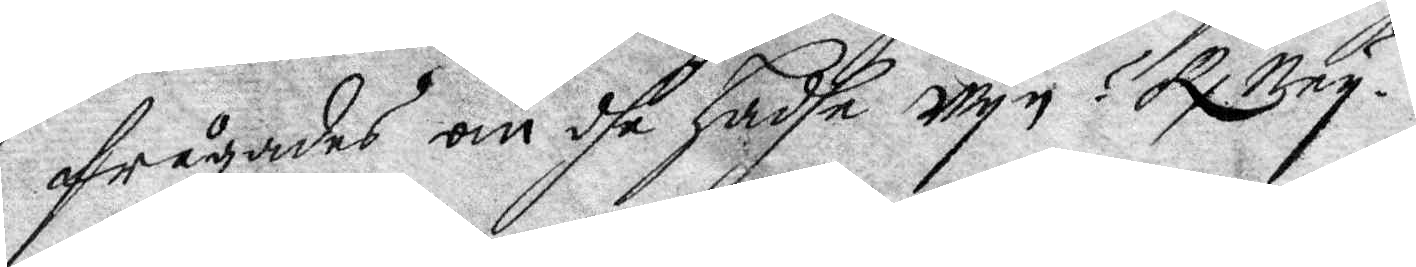frågades om dhe hadhe wyn? Rx Ney.
